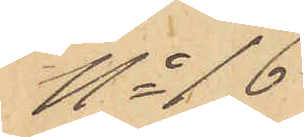No 16
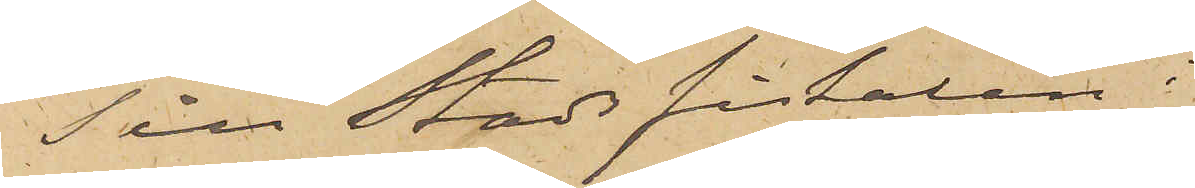Till Stadsfiskalen i
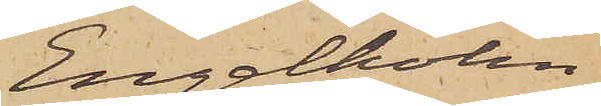Engelholm
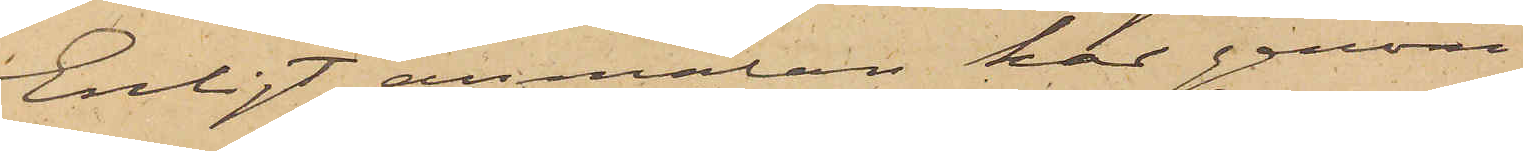Enligt anmälan har genom
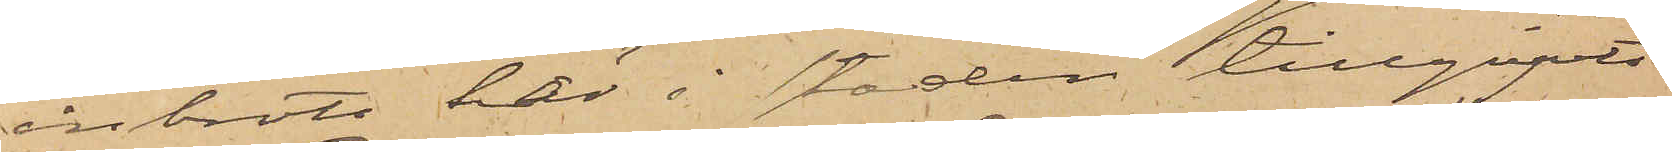inbrott här i staden tillgripits
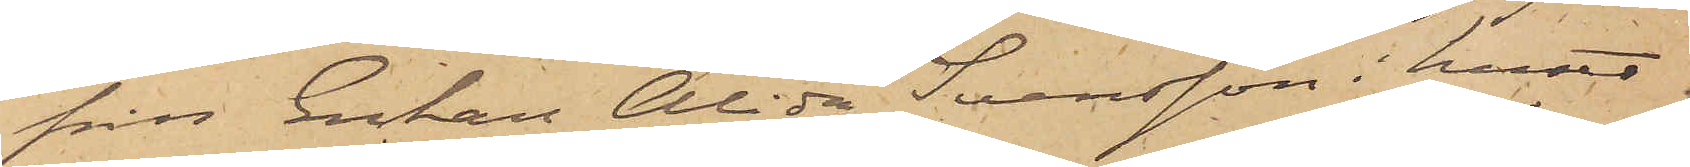från Enkan Alida Svensson i huset
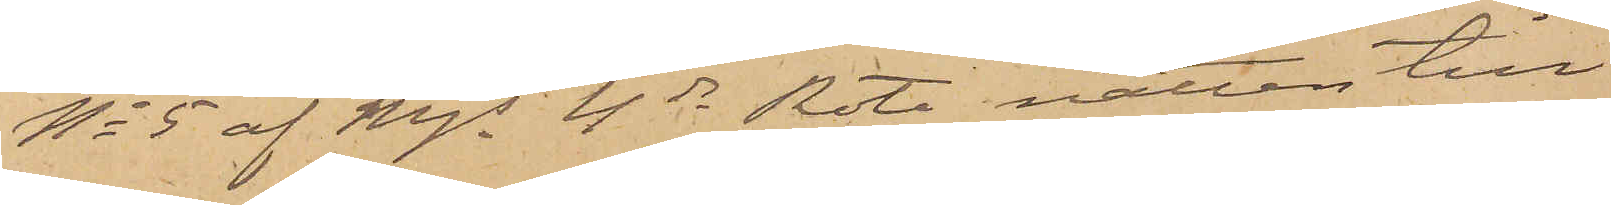No 5 af Mjs 4de Rote natten till
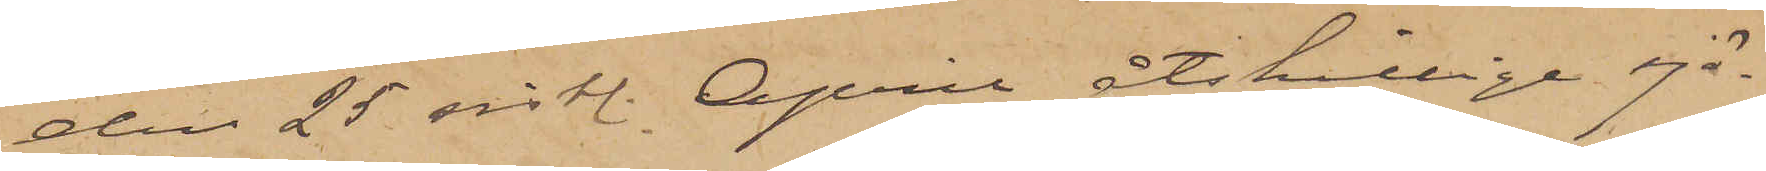den 25 sistl. April åtskillige sjö¬
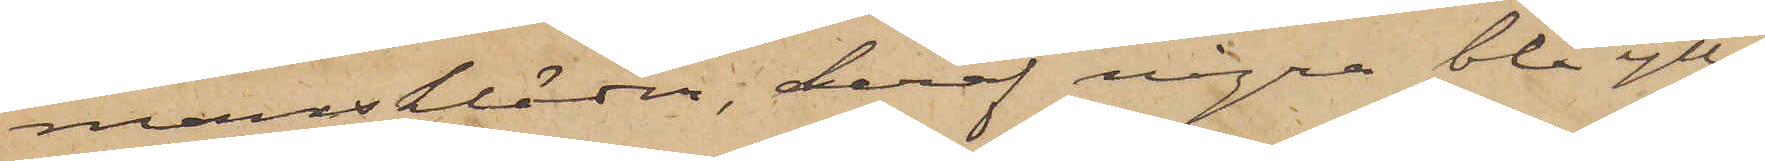manskläder, deraf några blå ylle¬
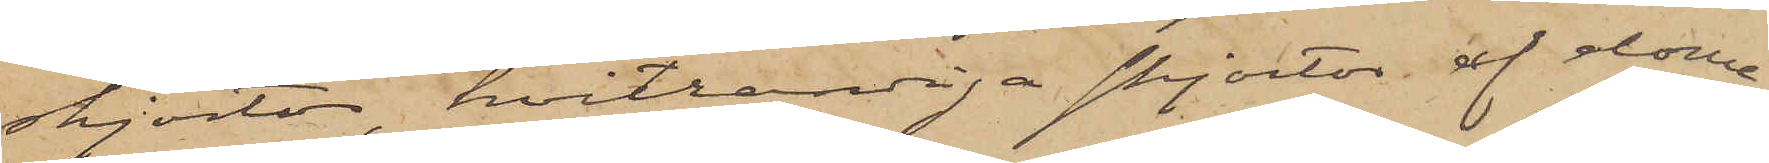skjortor, hvitrandiga skjortor af dome¬
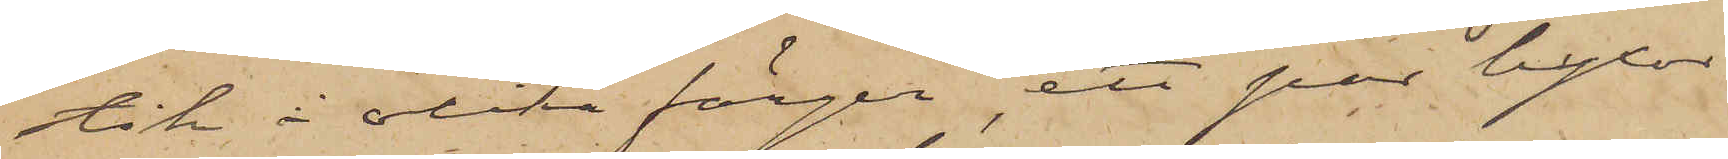stik i olika färger, ett par byxor
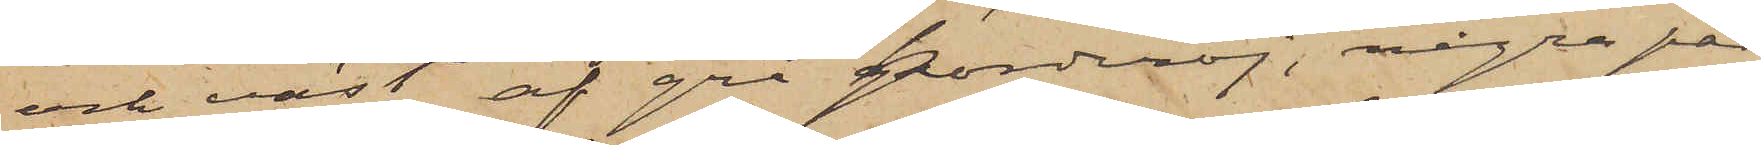och väst af grå korderoj, några par
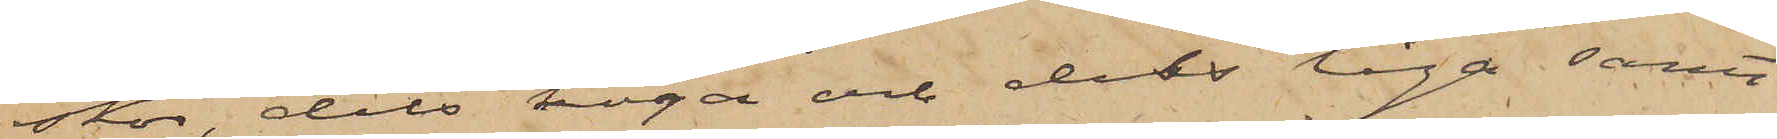skor, dels höga och dels låga samt
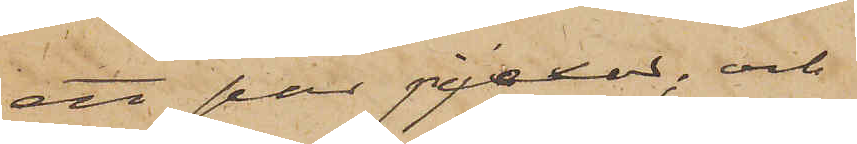ett par pjexor; och
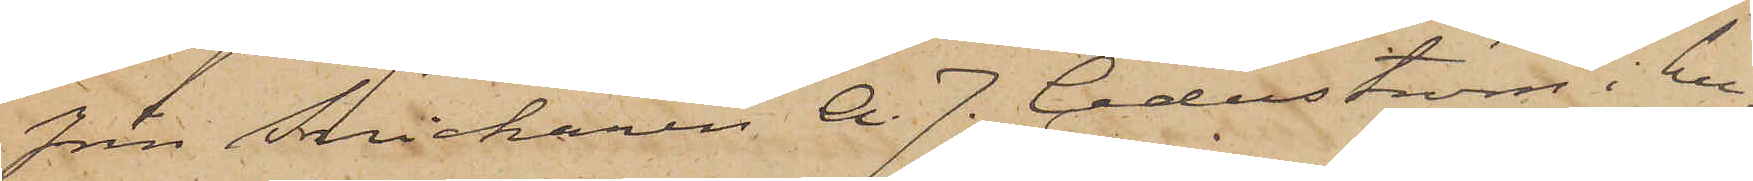från Snickaren A. J. Cederström i hu¬
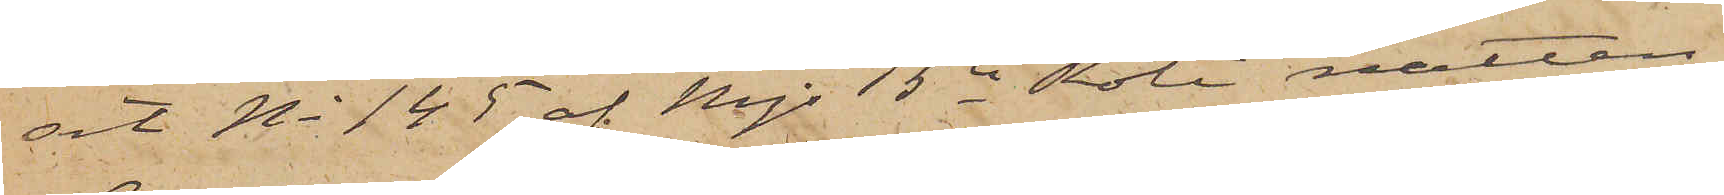set No 145 af Mjs 5te Rote natten
